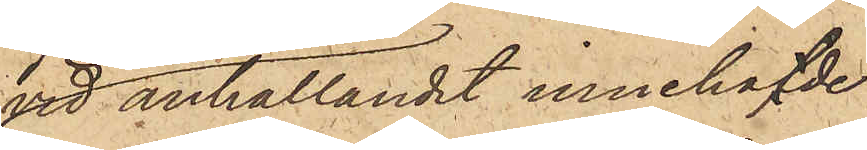vid anhållandet innehafde
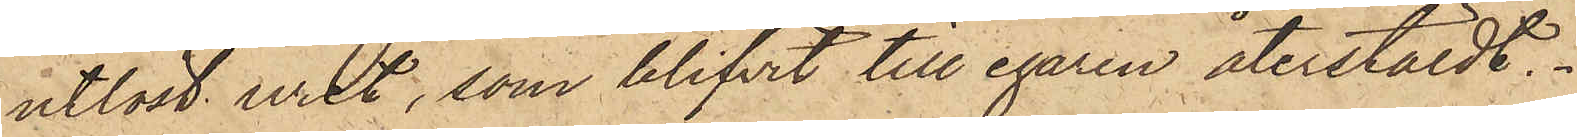utlöst uret, som blifvit till egaren återstäldt.
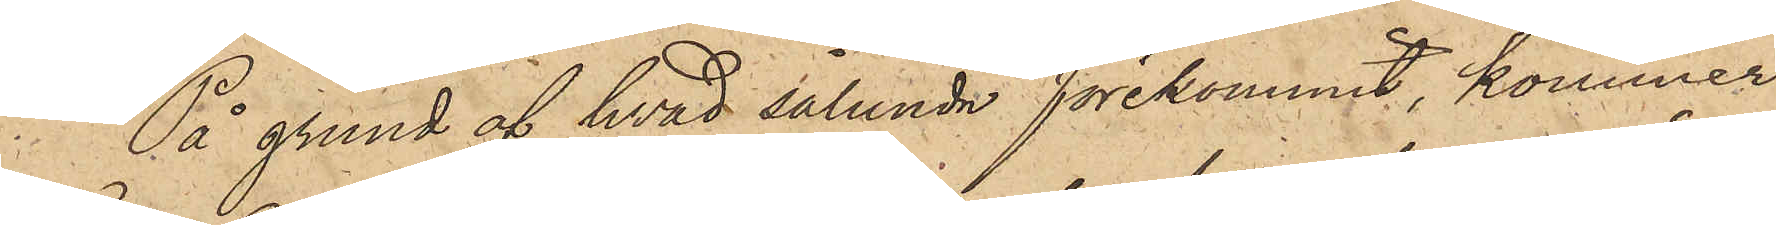På grund af hvad sålunda förekommit, kommer
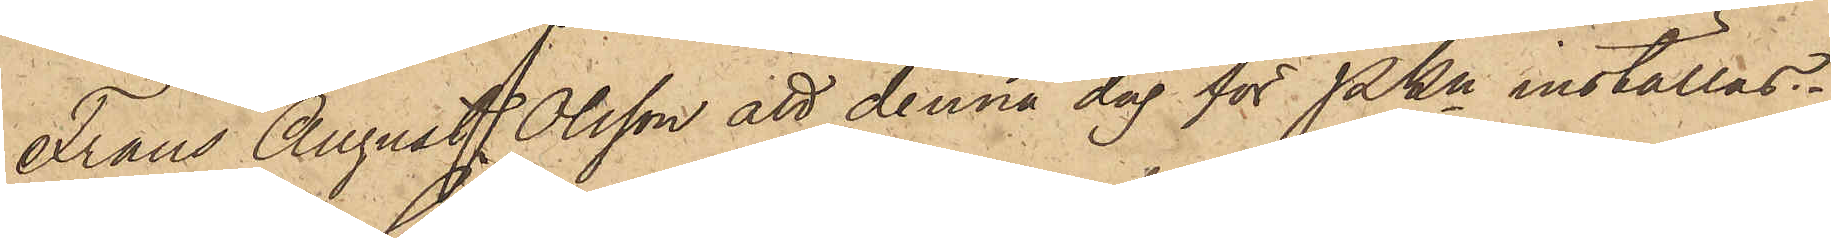Frans August Olsson att denna dag för PKn inställas.
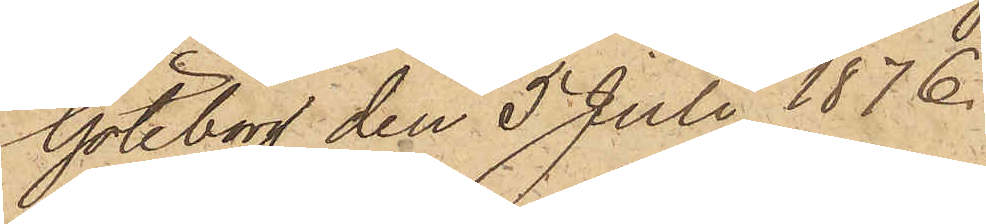Göteborg den 5 Juli 1876.
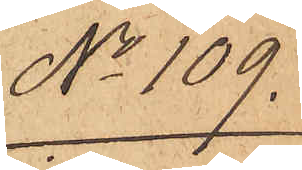No 109.
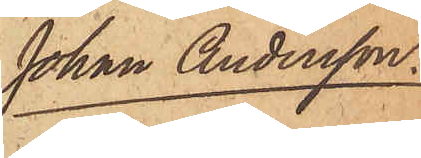Johan Andersson.
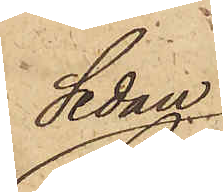Sedan
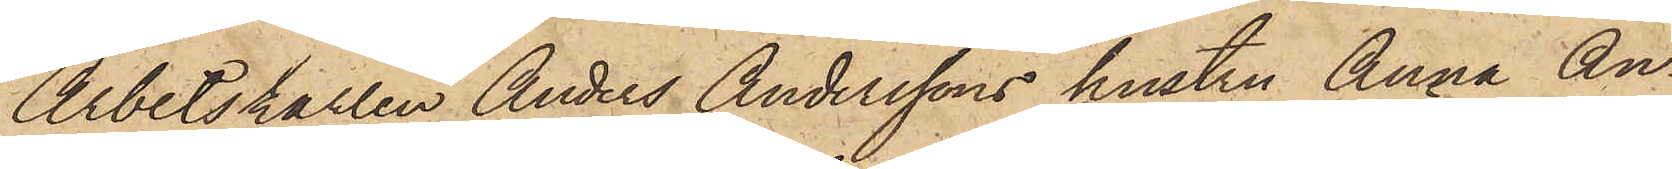Arbetskarlen Anders Anderssons hustru Anna An¬
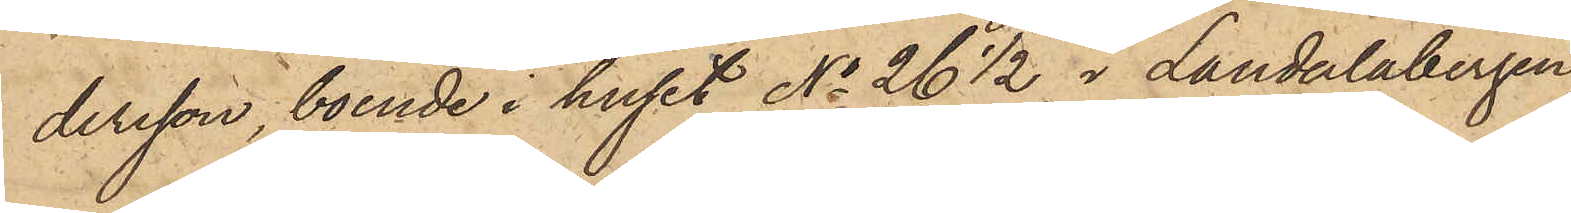dersson, boende i huset No 26½ i Landalabergen
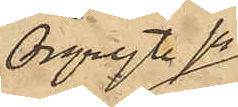Örgryte sn
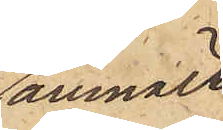anmält,
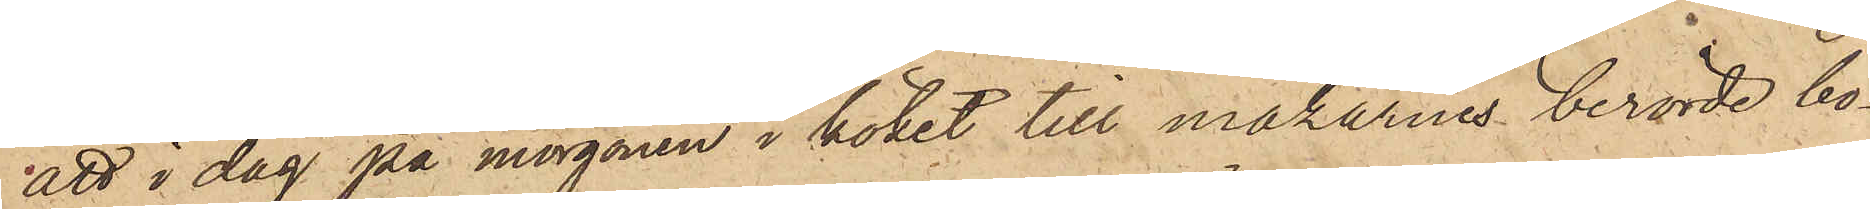att i dag på morgonen i köket till makarnes berörde bo¬
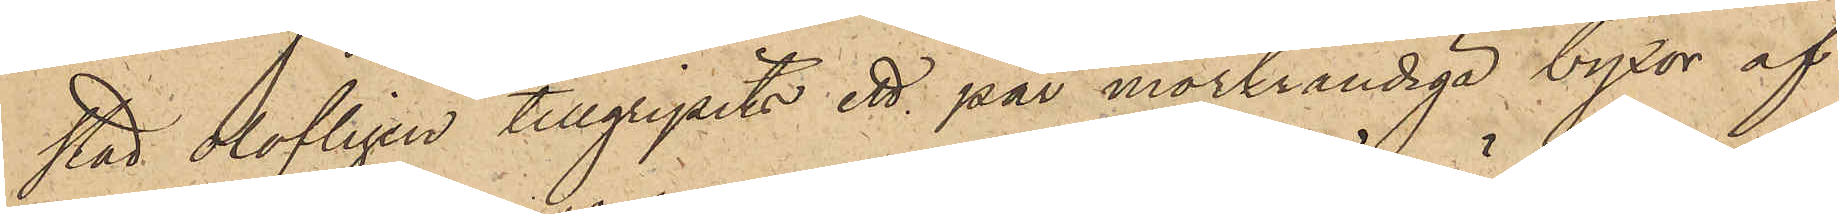stad olofligen tillgripits ett par mörkrandiga byxor af
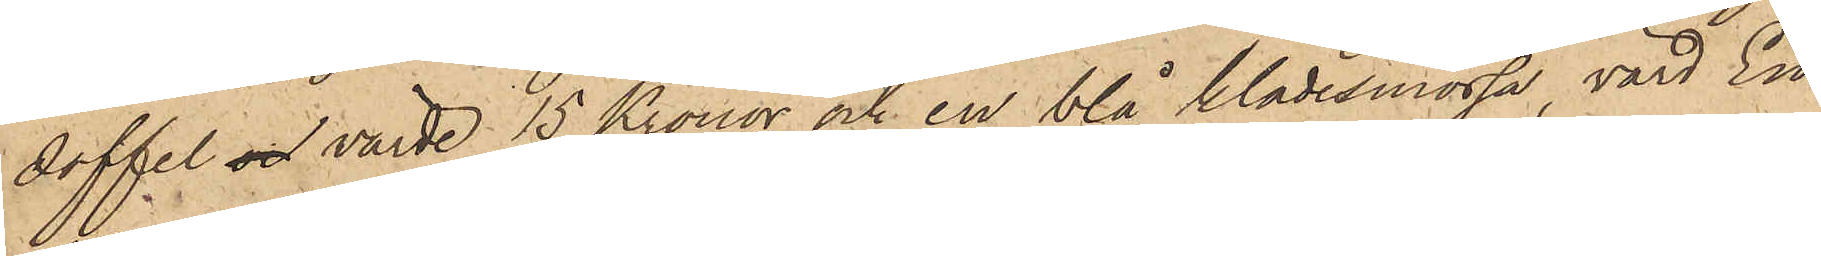doffel och värde 15 Kronor och en blå klädesmössa, värd En
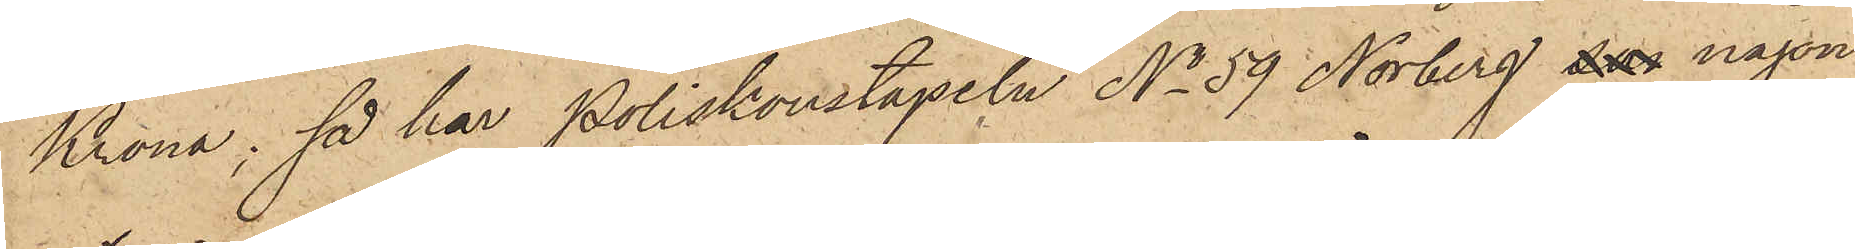Krona; så har Poliskonstapeln No 59 Norberg som någon
